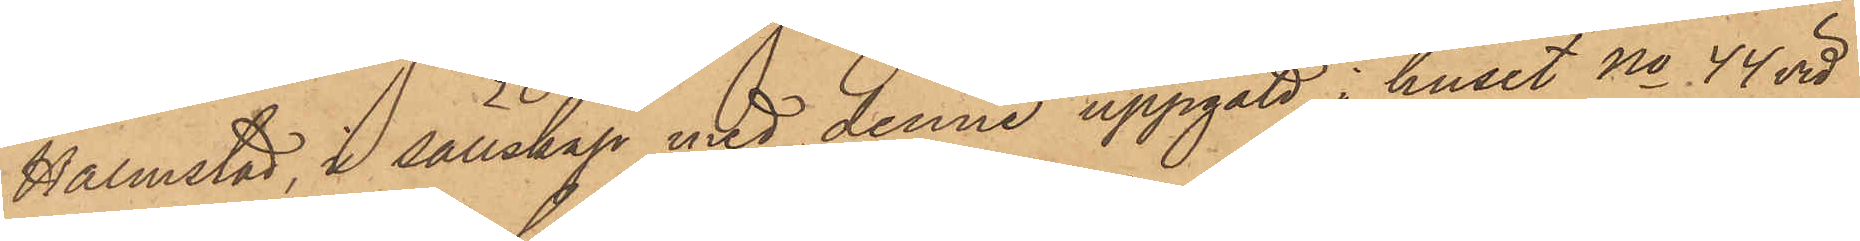Halmstad, i sällskap med denne uppgått i huset No 44 vid
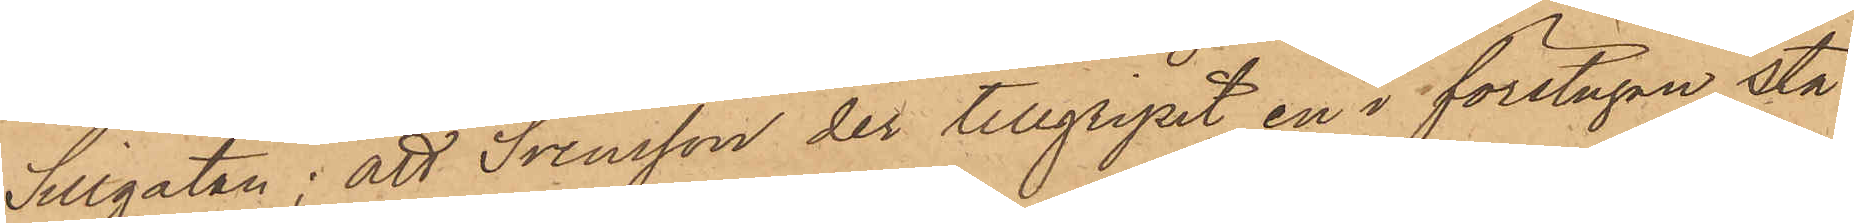Sillgatan; att Svensson der tillgripit en i förstugan stå¬
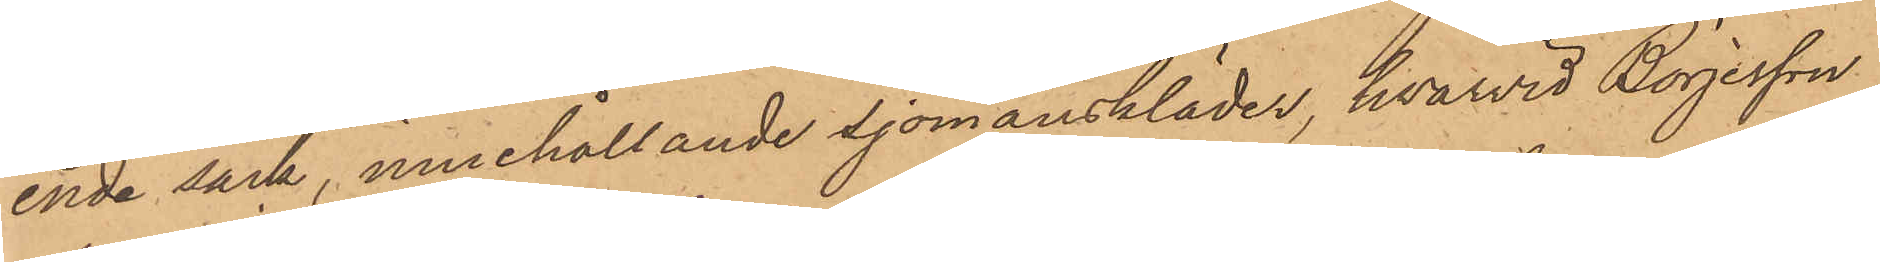ende säck, innehållande sjömanskläder, hvarvid Börjesson
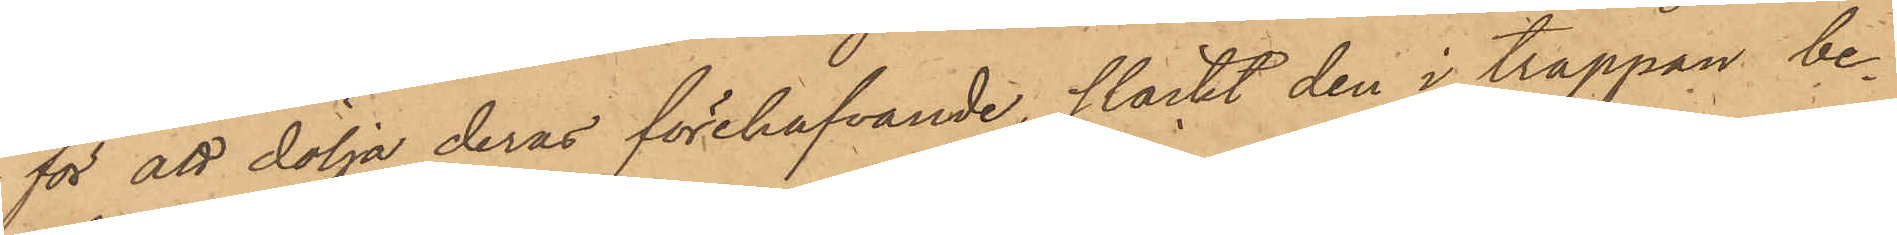för att dölja deras förehafvande, släckt den i trappan be¬
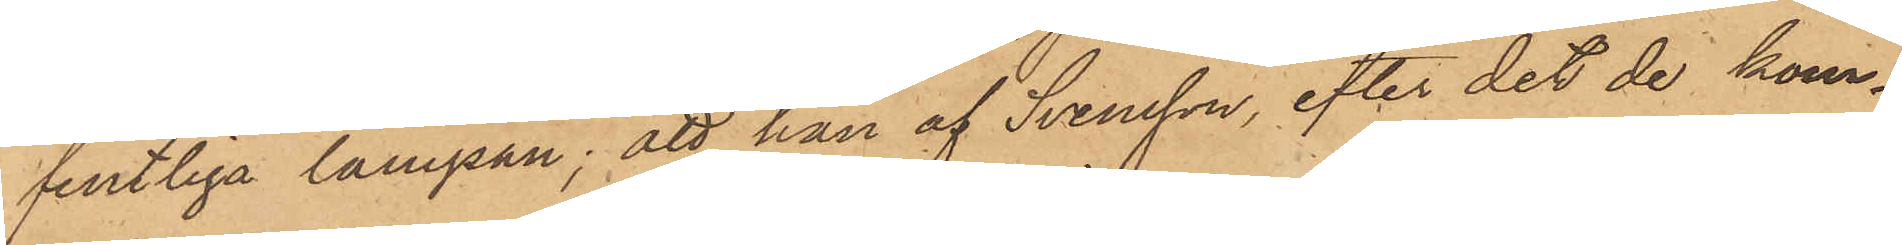fintliga lampan; att han af Svensson, efter det de kom¬
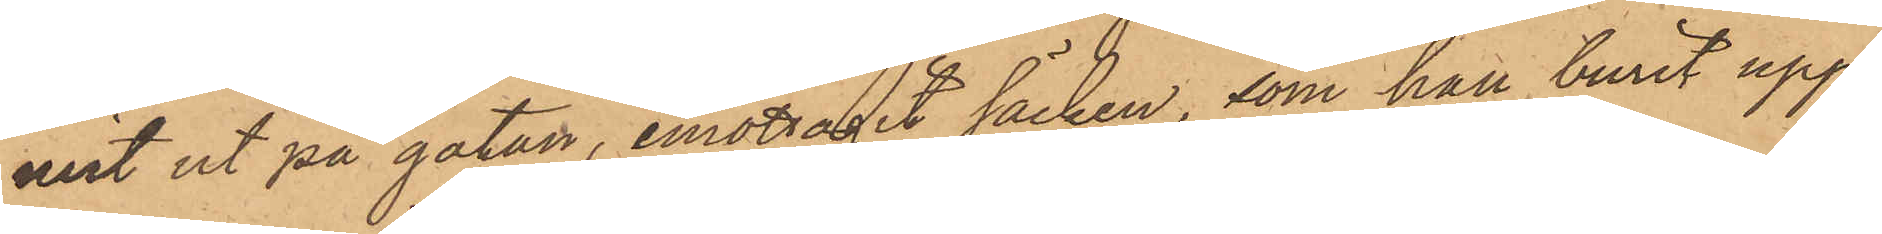mit ut på gatan, emottagit säcken, som han burit upp¬
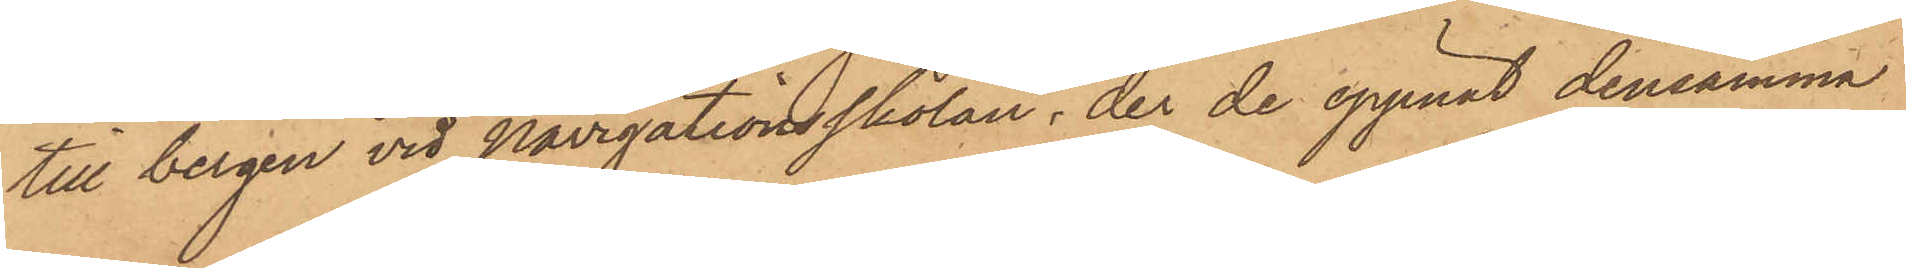till bergen vid Navigationsskolan, der de öppnat densamma
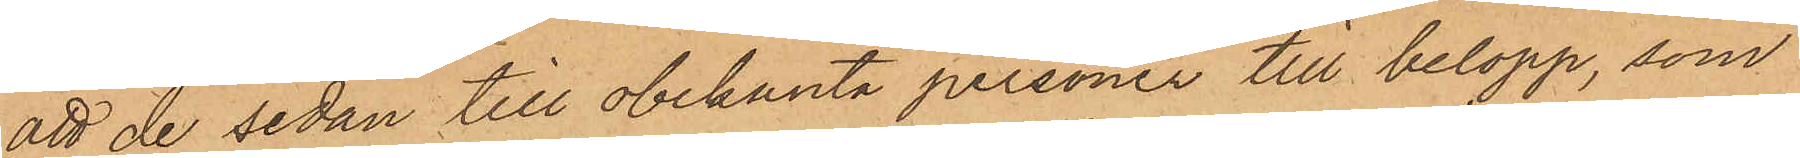att de sedan till obekanta personer till belopp, som
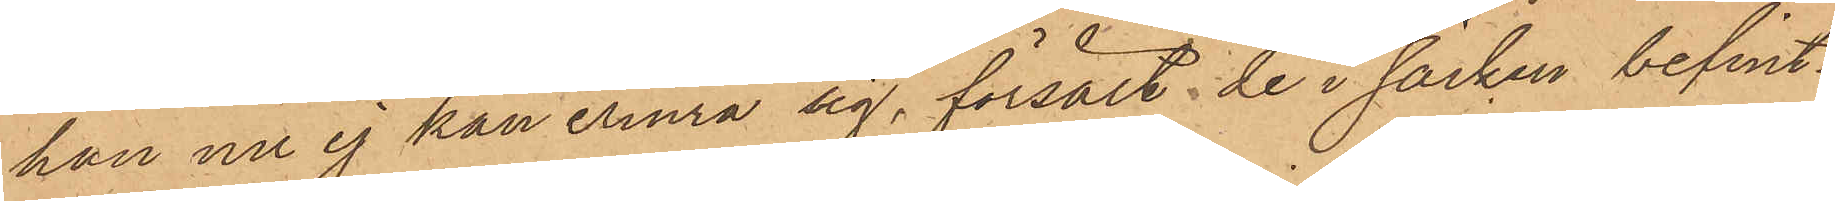han nu ej kan erinra sig, försålt de i säcken befint¬
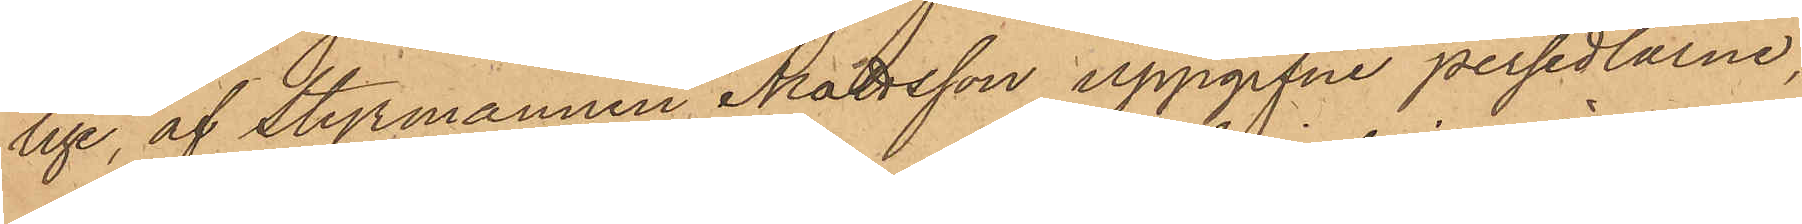lige, af Styrmannen Mattsson uppgifne persedlarne;
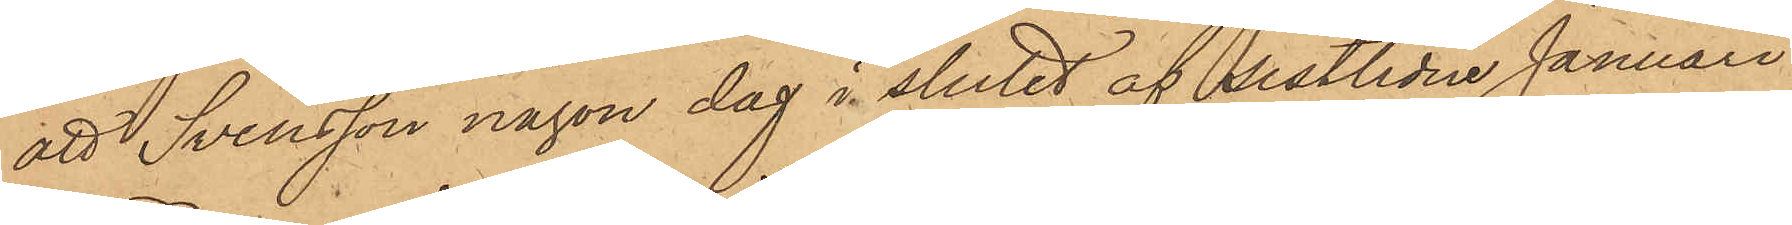att Svensson någon dag i slutet af sistlidne Januari
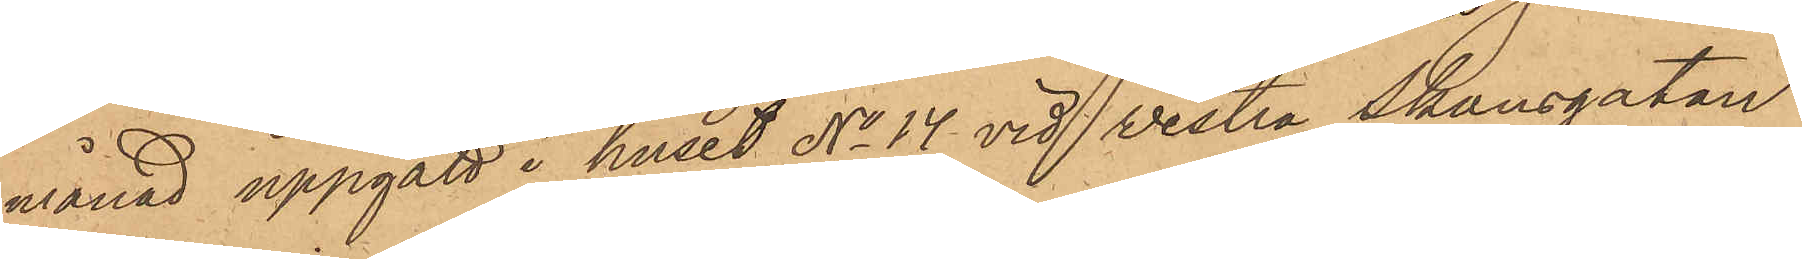månad uppgått i huset No 14 vid Vestra Skansgatan,
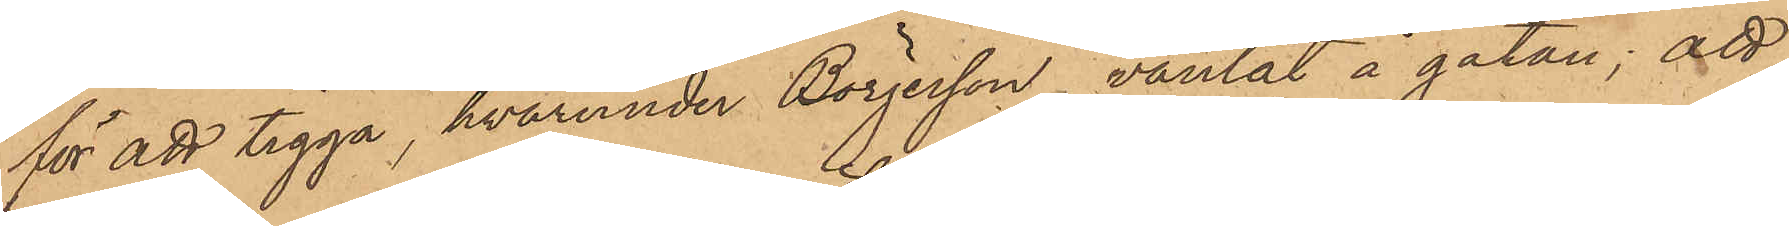för att tigga, hvarunder Börjesson väntat å gatan; att
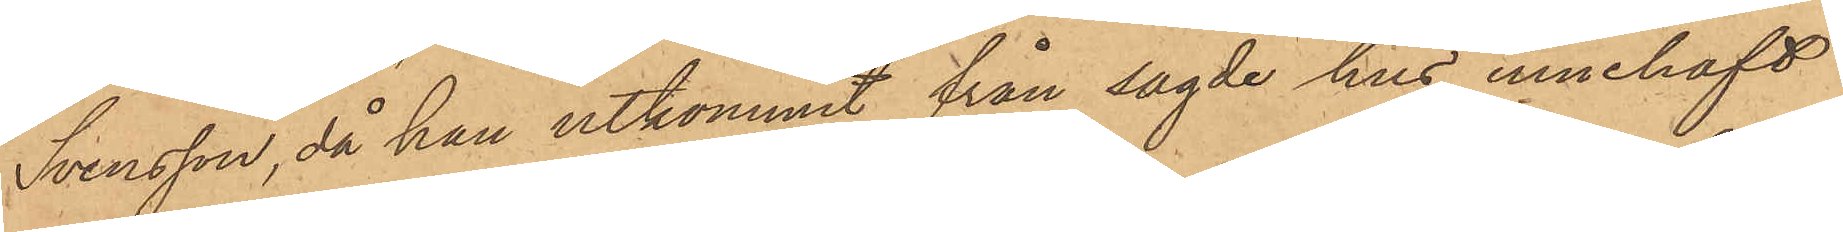Svensson, då han utkommit från sagde hus, innehaft
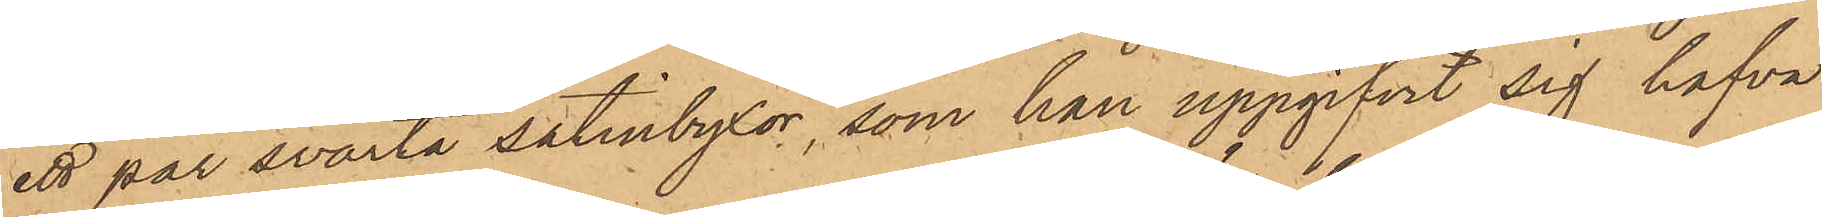ett par svarta satinbyxor, som han uppgifvit sig hafva
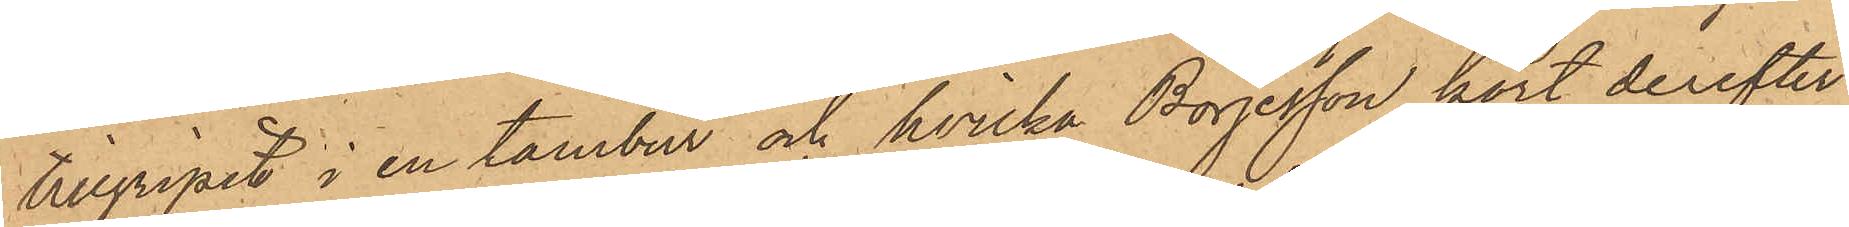tillgripit i en tambur och hvilka Börjesson kort derefter
